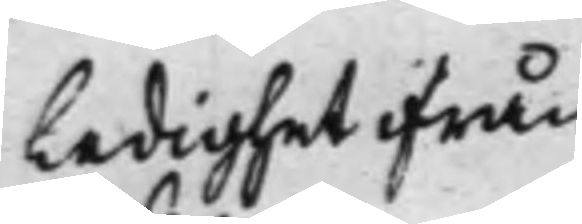Ledighet ifrån
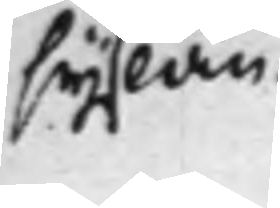syslan.
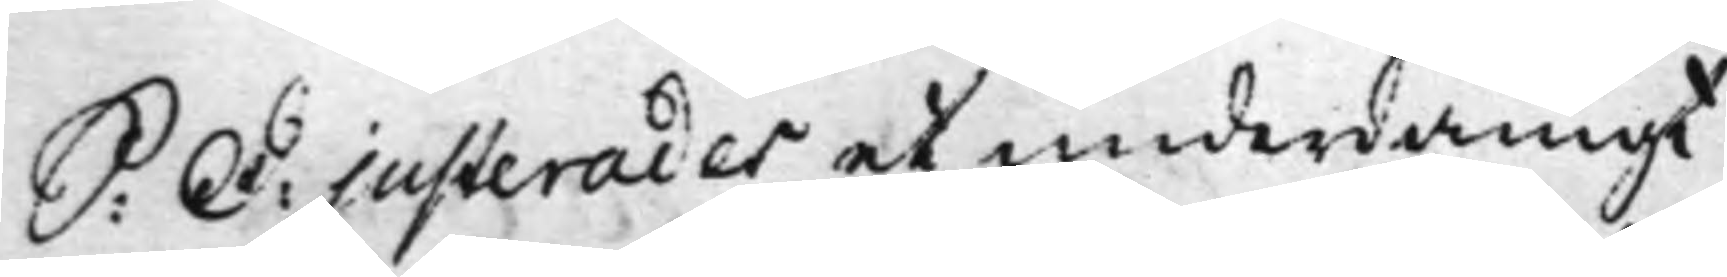S: D: justerades et underdånigt
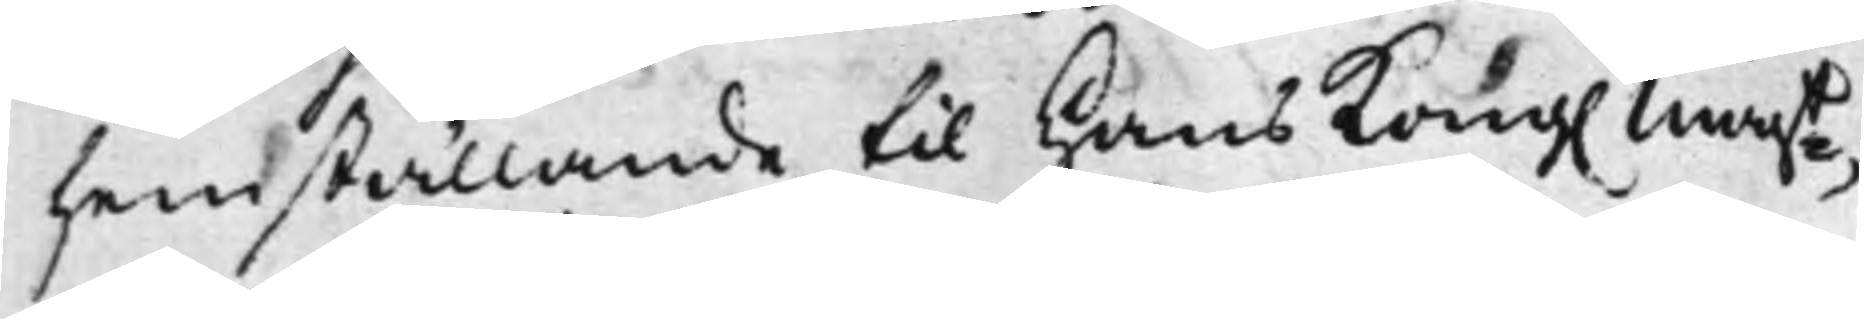hemställande til Hans Kong. Maijt,
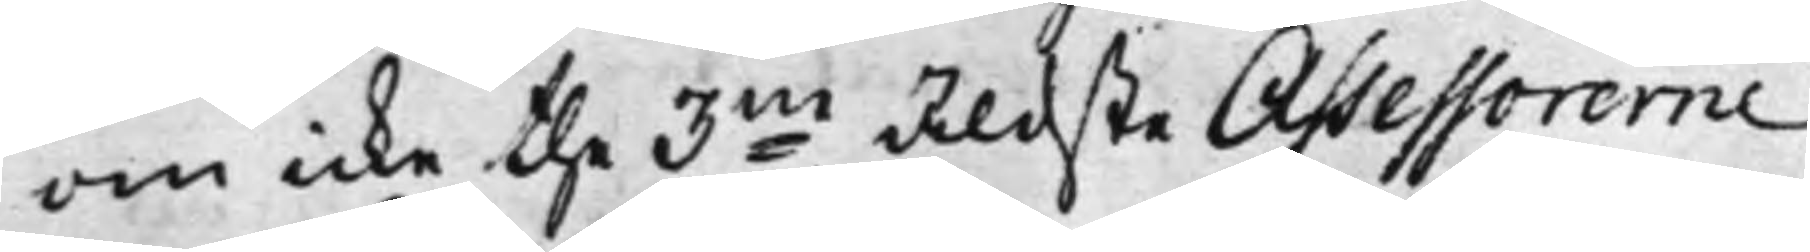om icke the 3ne äldste Assessorerne
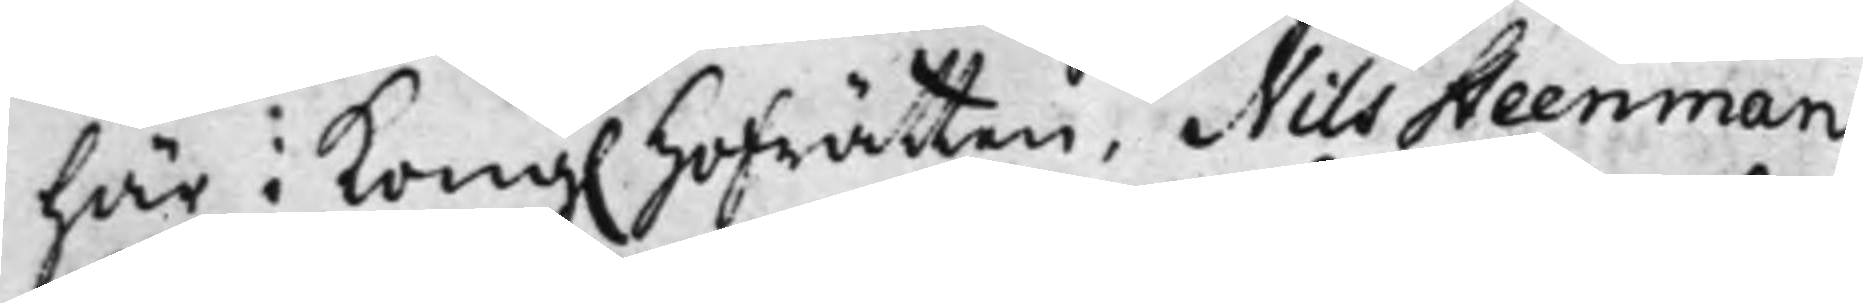här i Kong. Hofrätten, Nils Steenman,
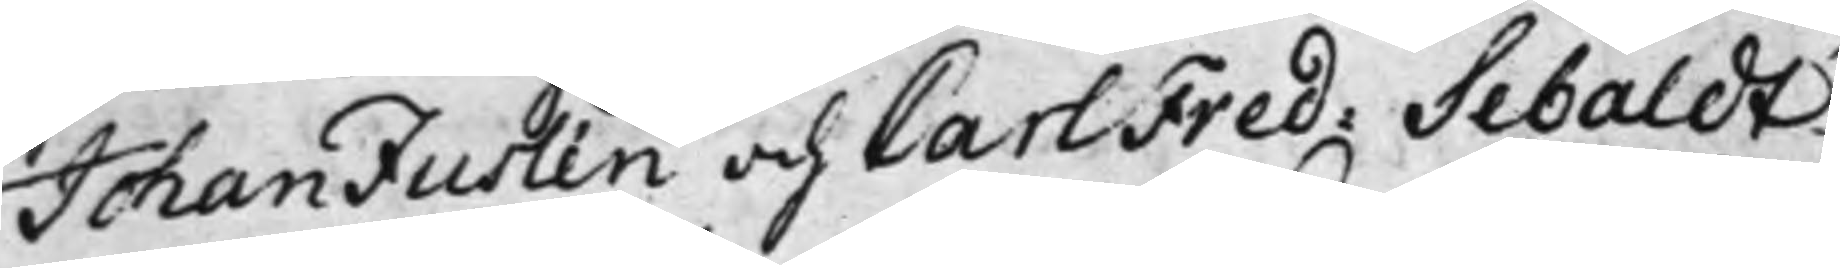Johan Juslén och Carl Fred: Sebaldt
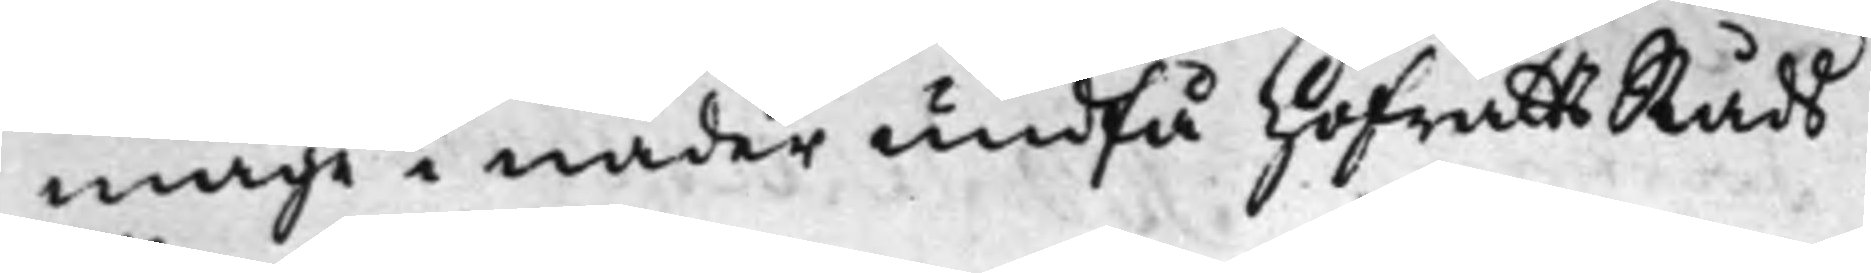måge i nåder undfå HofrättsRåds
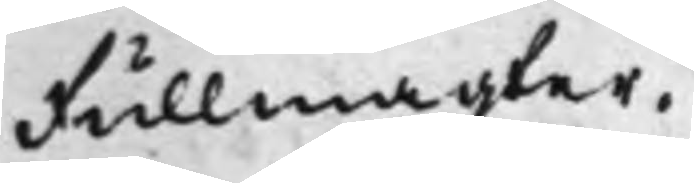Fullmagter.
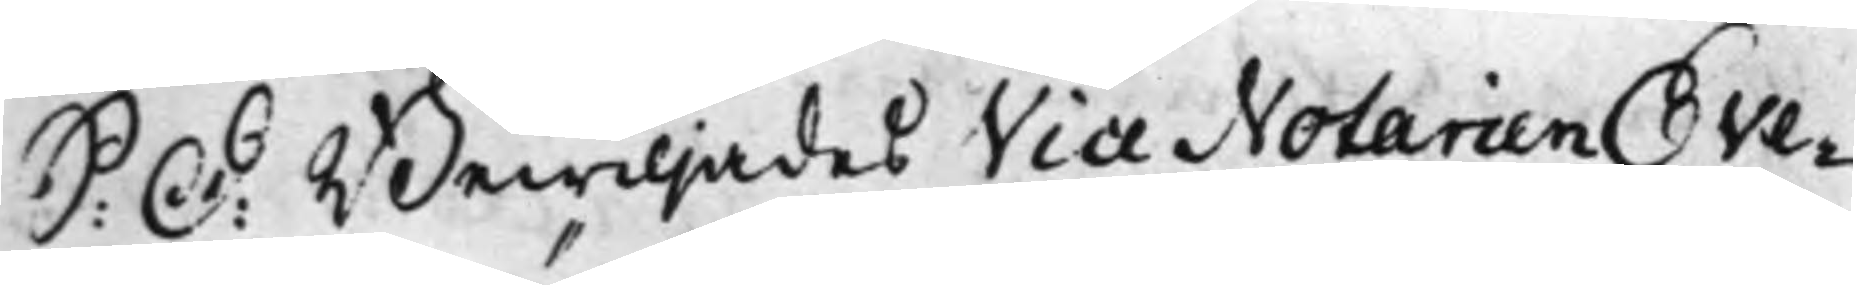S: D: Bewiljades Vice Notarien Ove¬
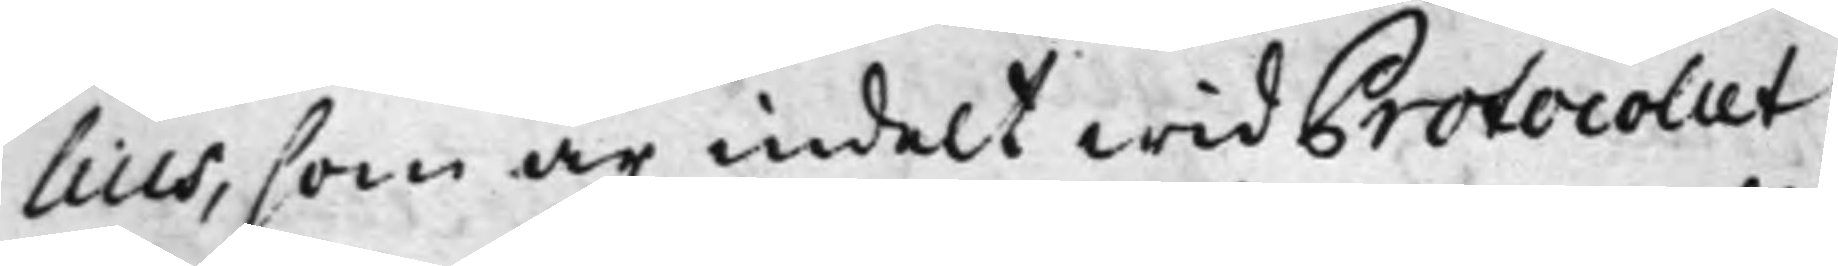lius, som är indelt wid Protocollet
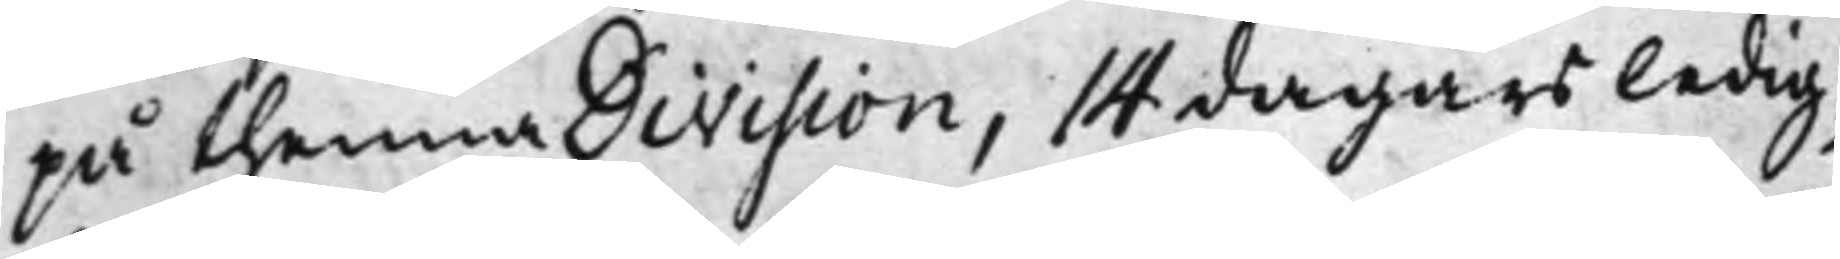på thenna Division, 14 dagars ledig¬
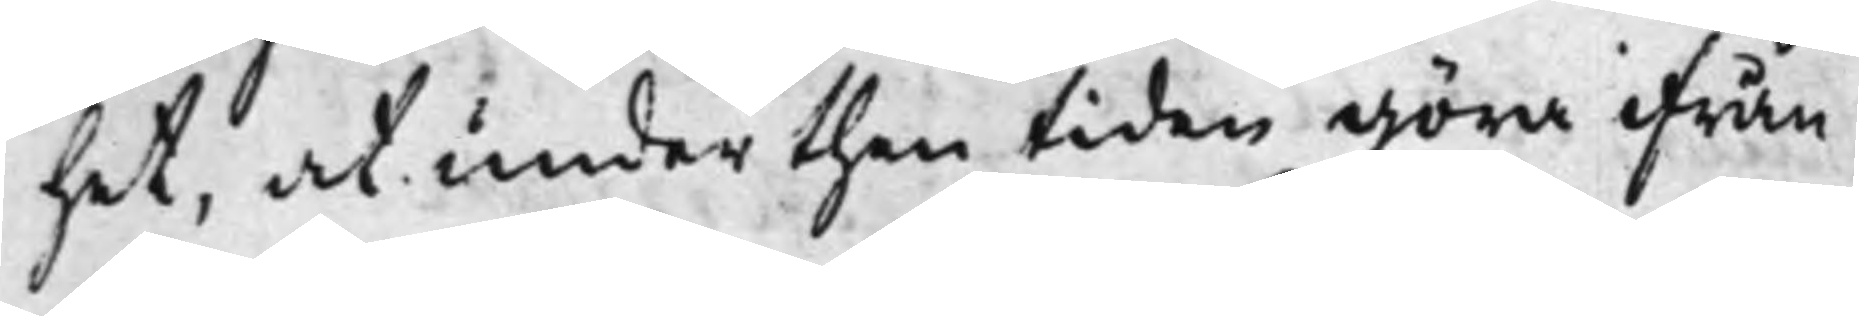het, at under then tiden göra ifrån
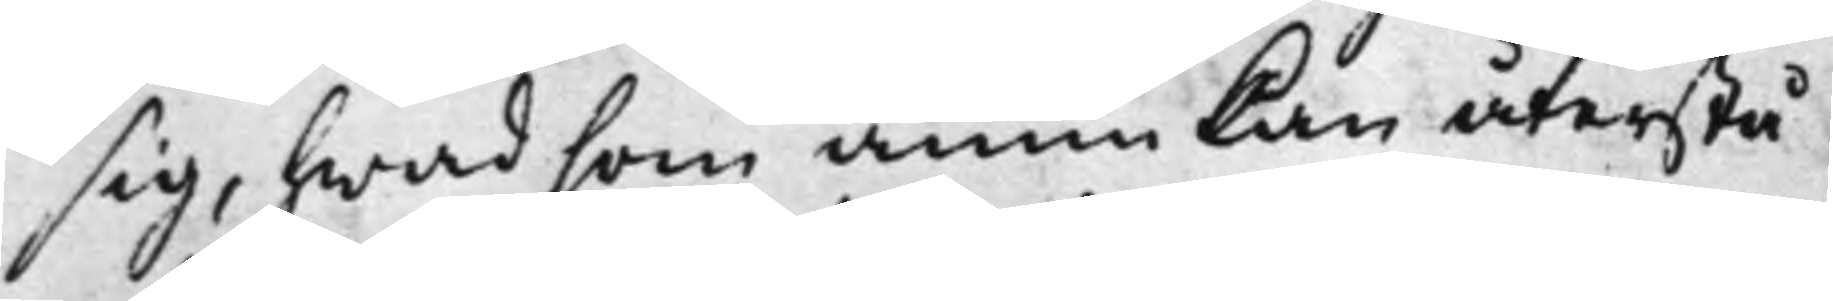sig, hwad som ännu kan återstå
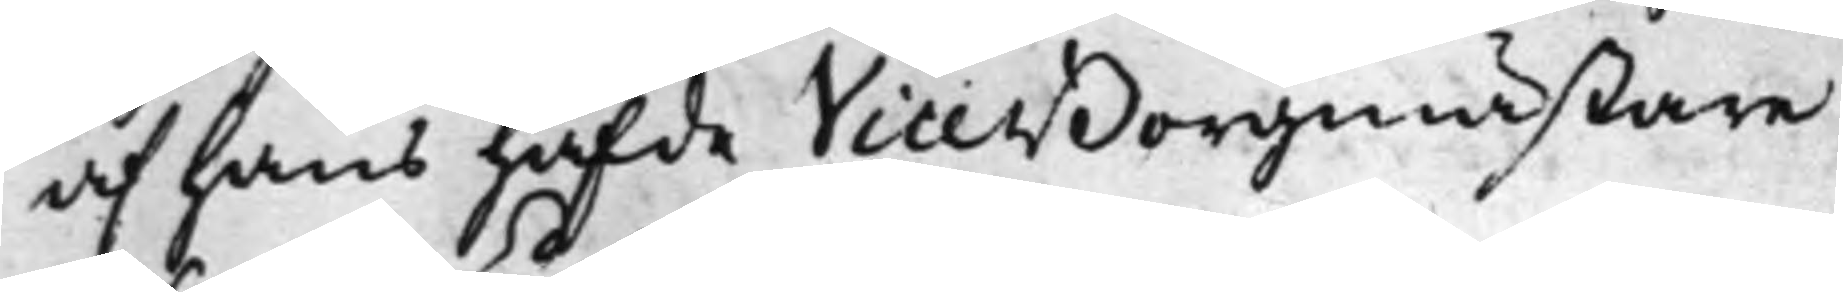af hans hafde Vice Borgmästare
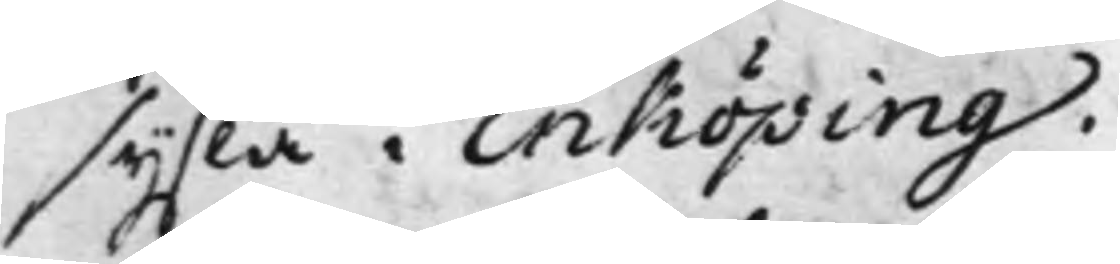sysla i Enköping.
